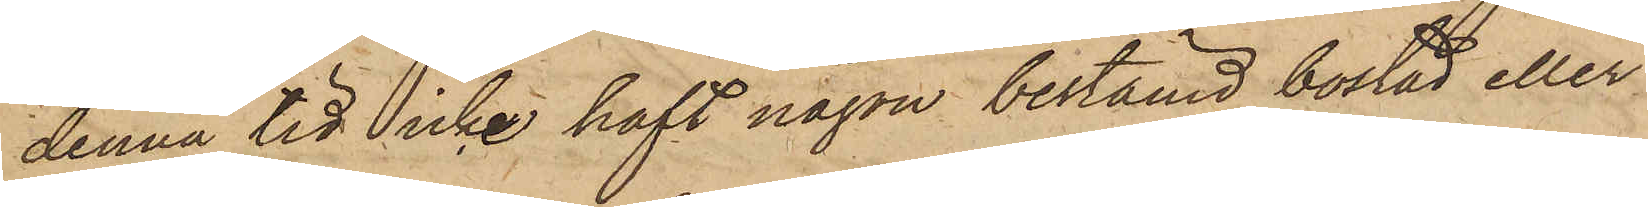denna tid icke haft någon bestämd bostad eller
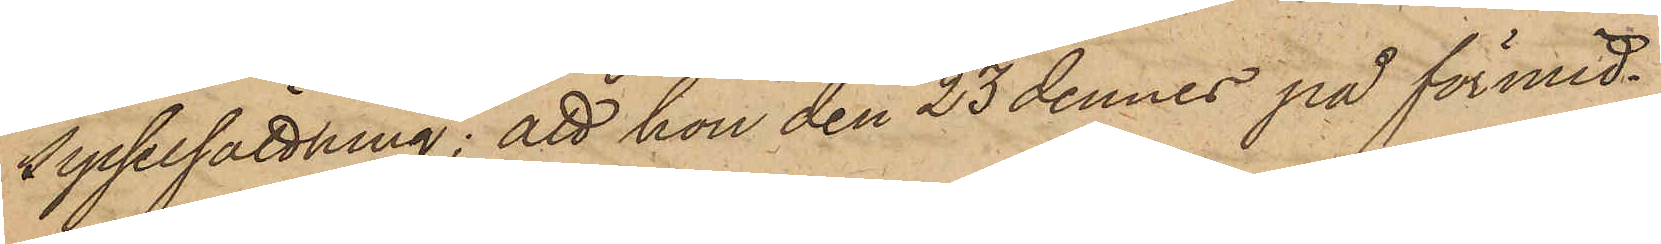sysselsättning; att hon den 23 dennes på förmid¬
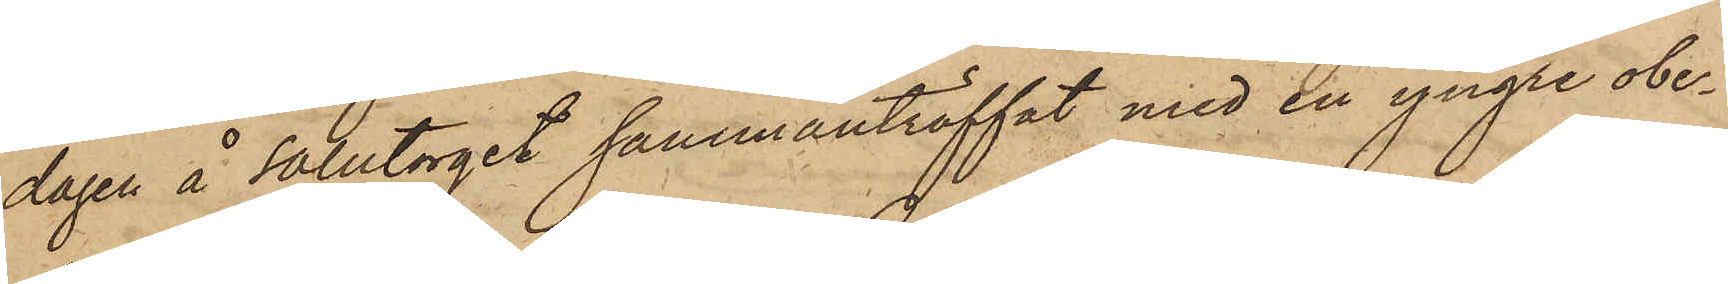dagen å Salutorget sammanträffat med en yngre obe¬
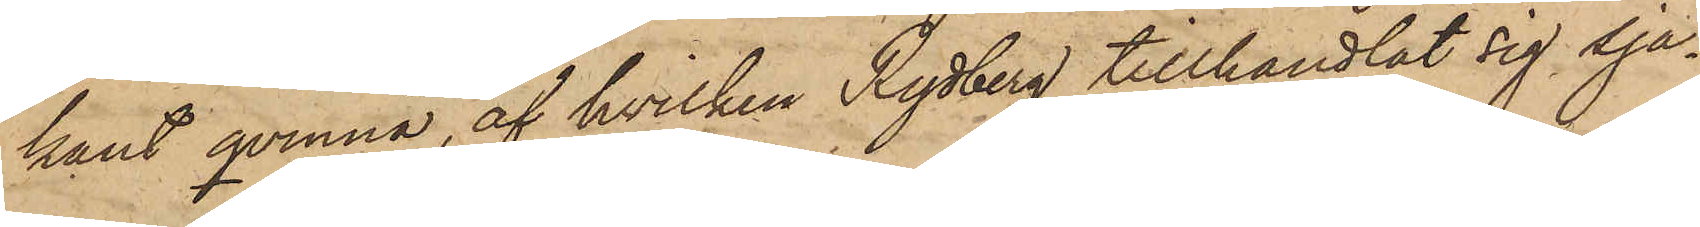kant qvinna, af hvilken Rydberg tillhandlat sig sja¬
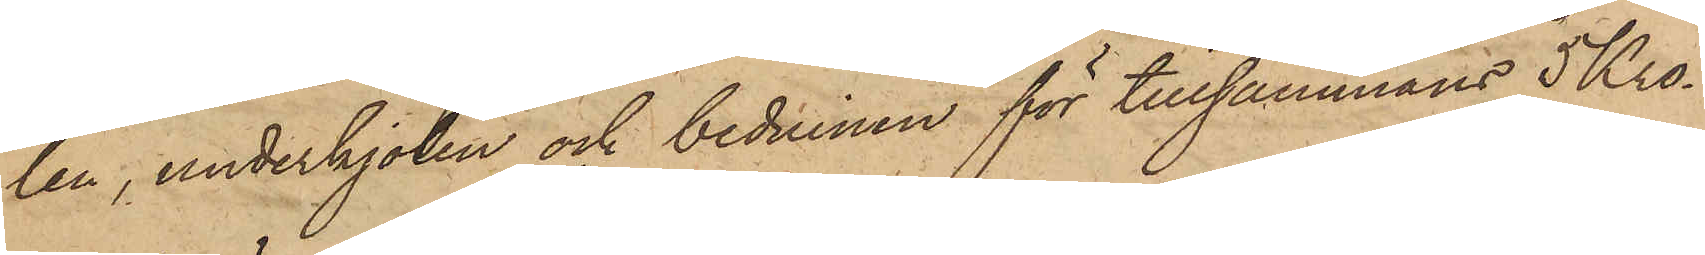len, underkjolen och beduinen för tillsammans 5 Kro¬
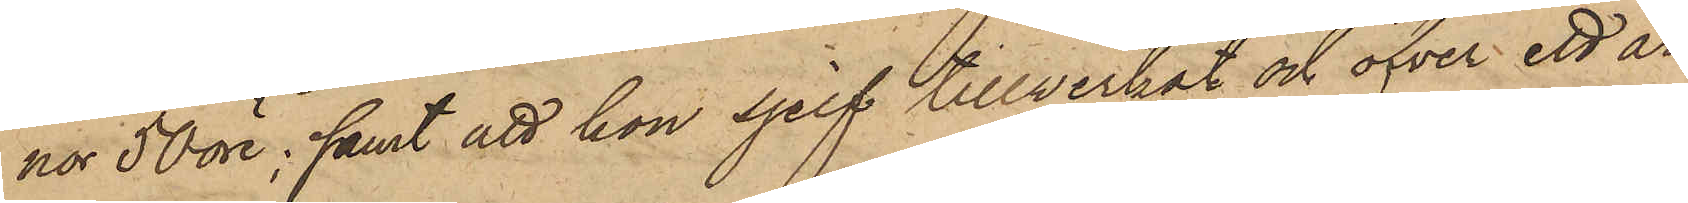nor 50 öre; samt att hon sjelf tillwerkat och öfver ett år
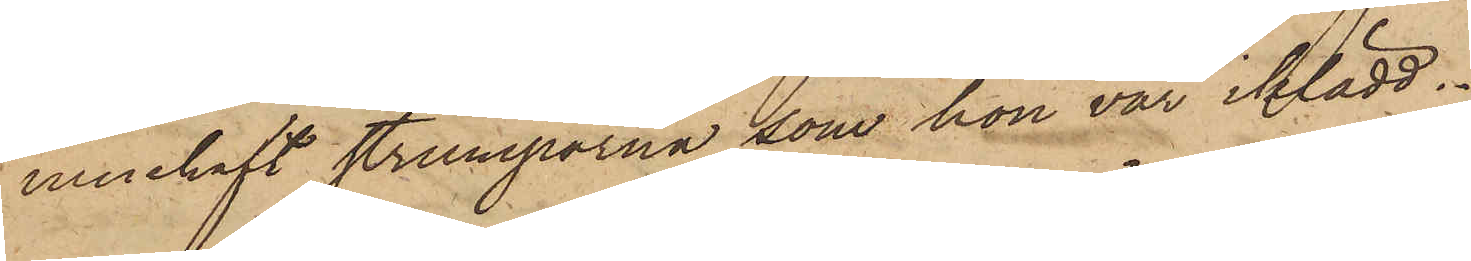innehaft strumporna, som hon var iklädd.
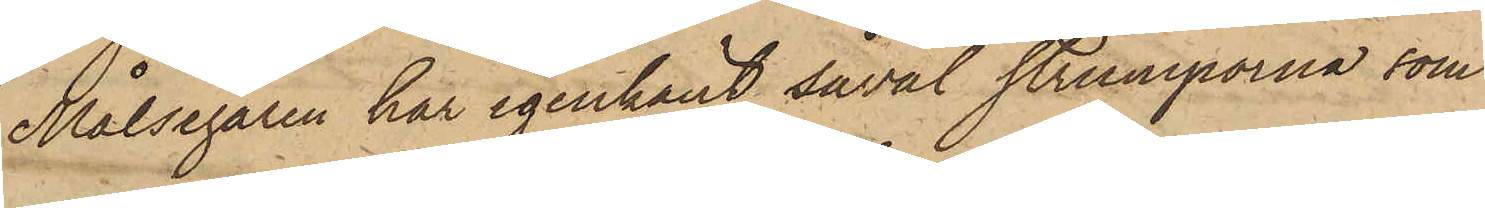Målsegaren har igenkänt såväl strumporna, som
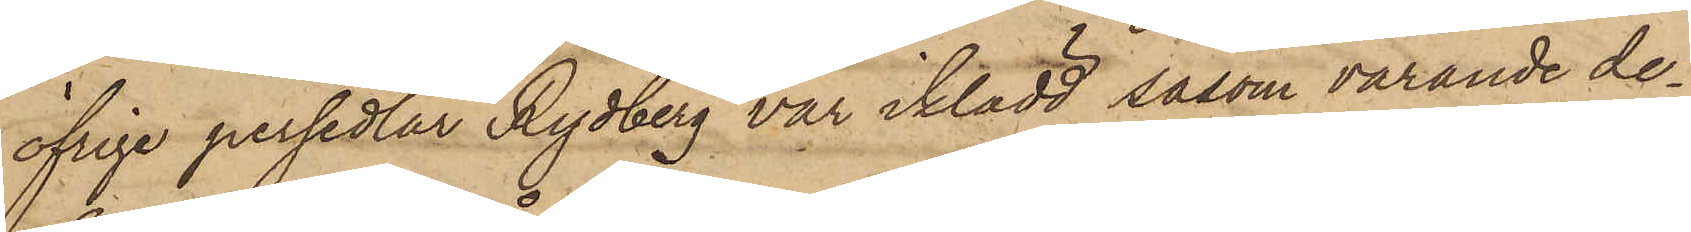öfrige persedlar Rydberg var iklädd, såsom varande de¬
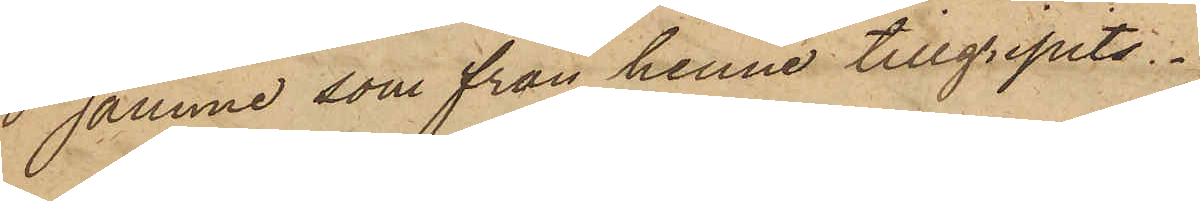samme som från henne tillgripits.
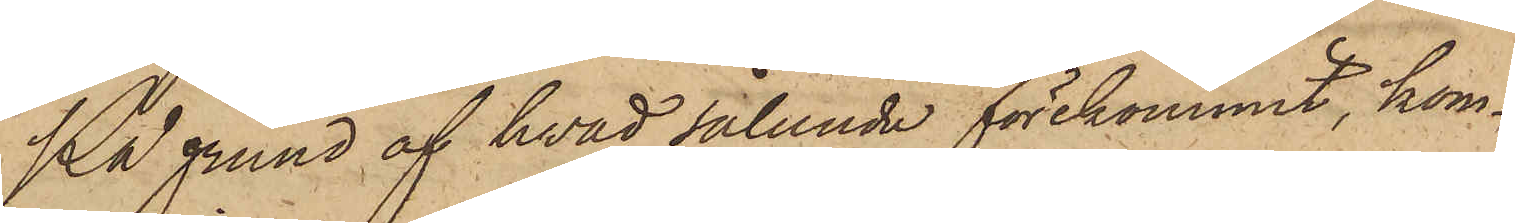På grund af hvad sålunda förekommit, kom¬
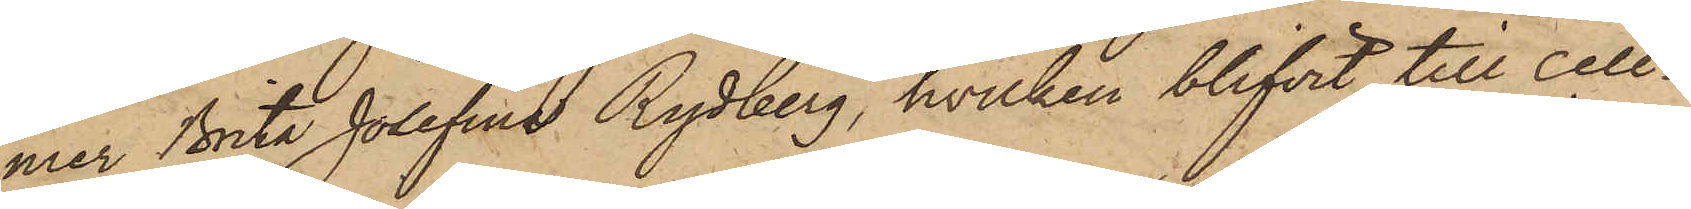mer Brita Josefina Rydberg, hvilken blifvit till Cell¬
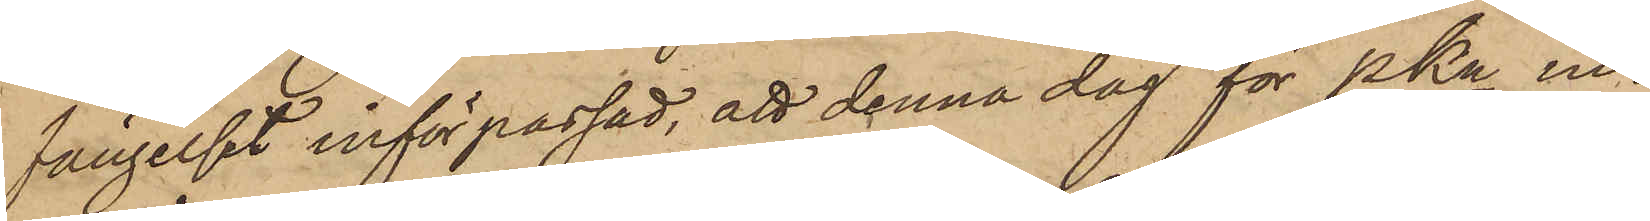fängelset införpassad, att denna dag för PKn in¬
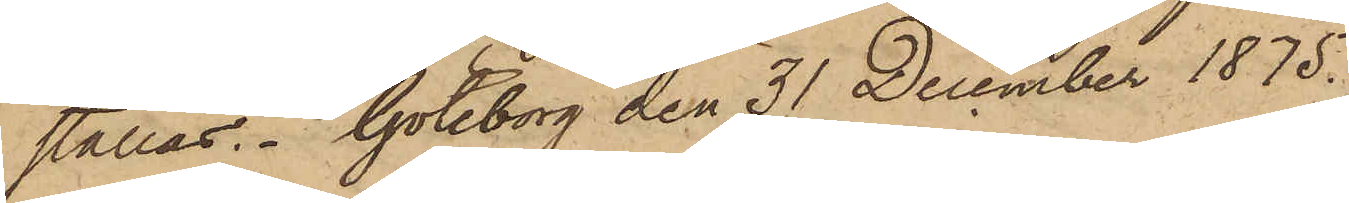ställas. Göteborg den 31 December 1875.
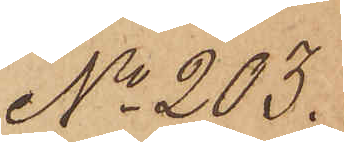No 203.
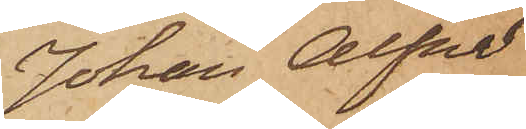Johan Alfred
